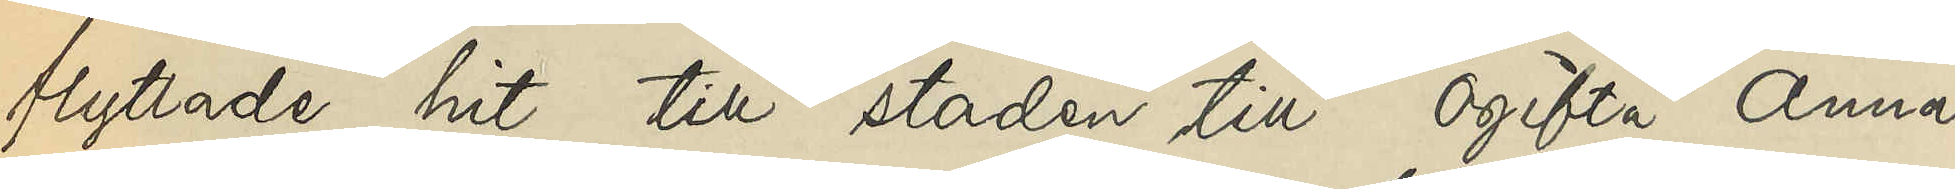flyttade hit till staden till ogifta Anna
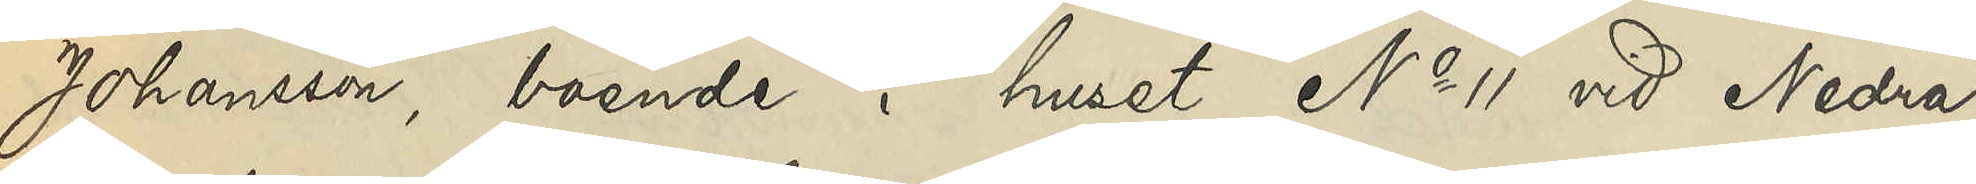Johansson, boende i huset No 11 vid Nedre
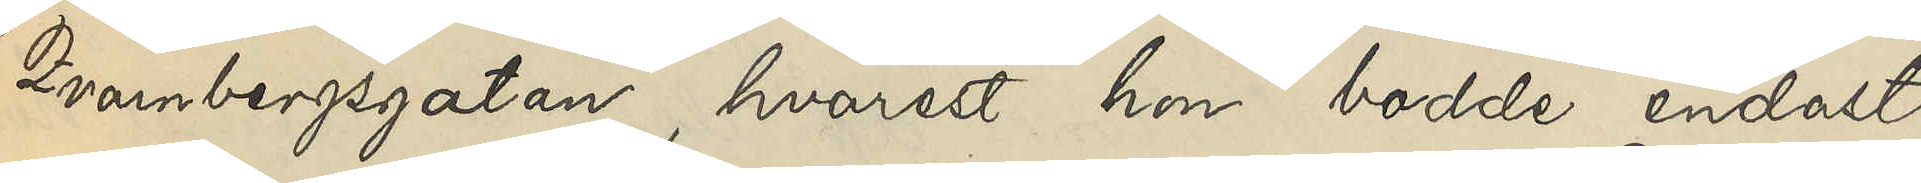Qvarnbergsgatan, hvarest hon bodde endast
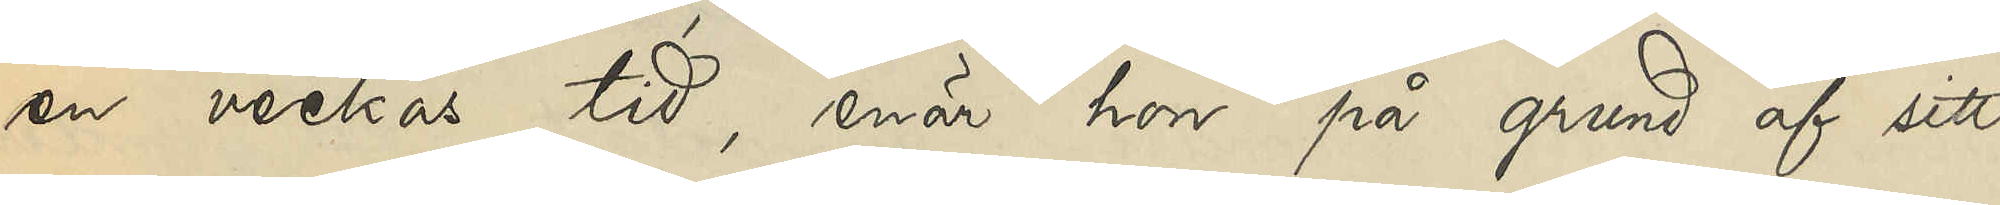en veckas tid, enär hon på grund af sitt
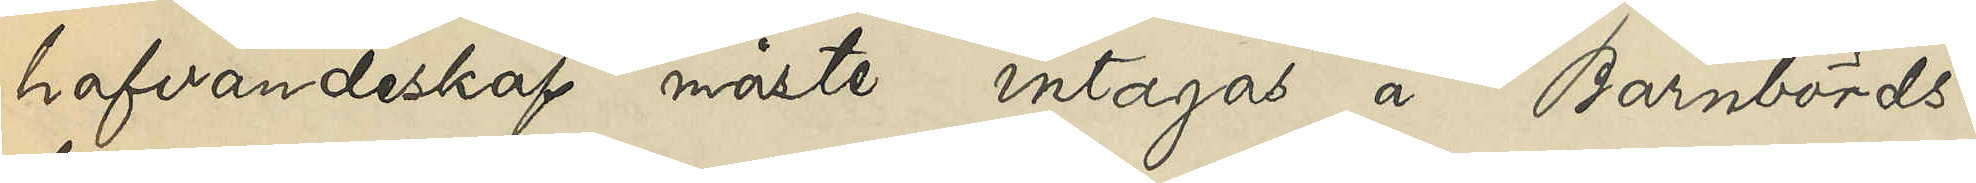hafvandeskap måste intagas å Barnbörds¬
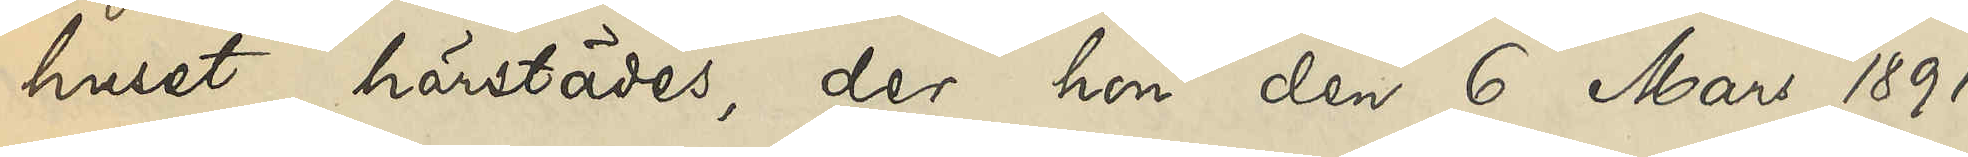huset härstädes, der hon den 6 Mars 1891
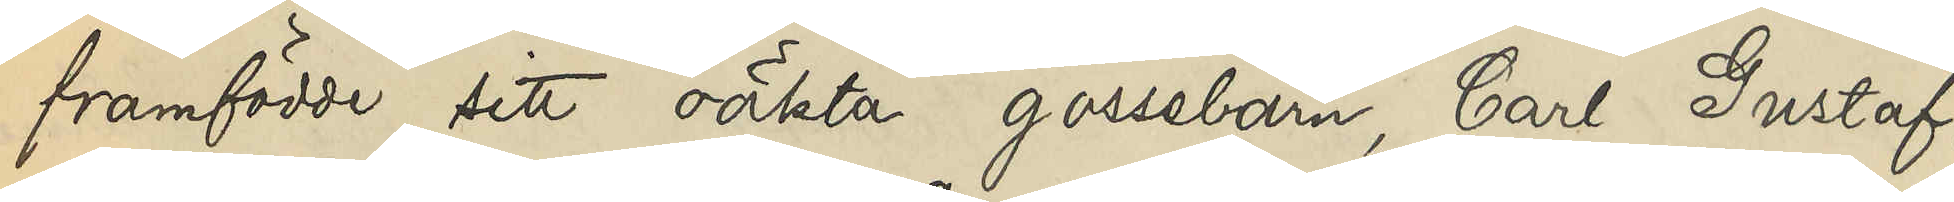framfödde sitt oäkta gossebarn, Carl Gustaf,
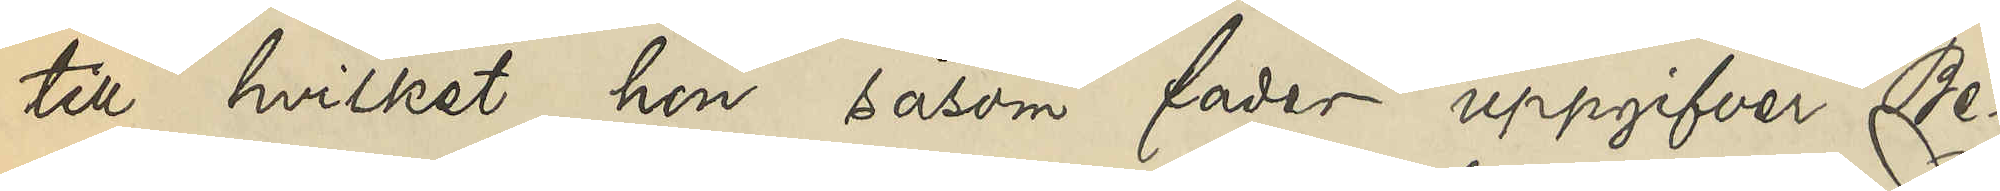till hvilket hon såsom fader uppgifver Be¬
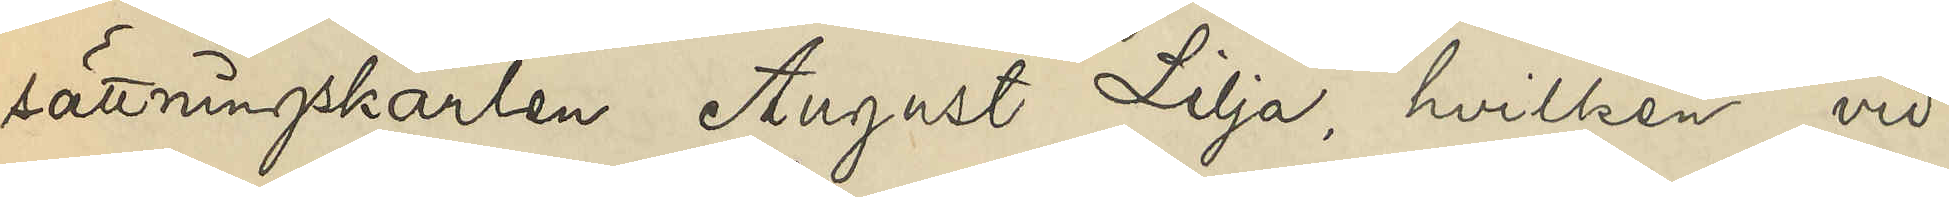sättningskarlen August Lilja, hvilken vid
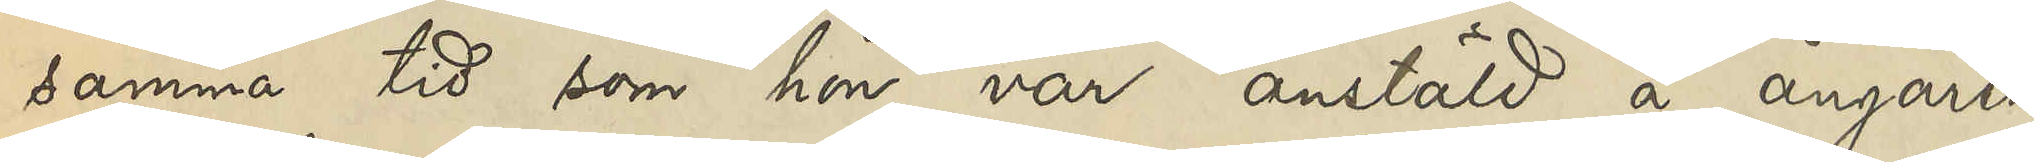samma tid som hon var anstäld å ångaren
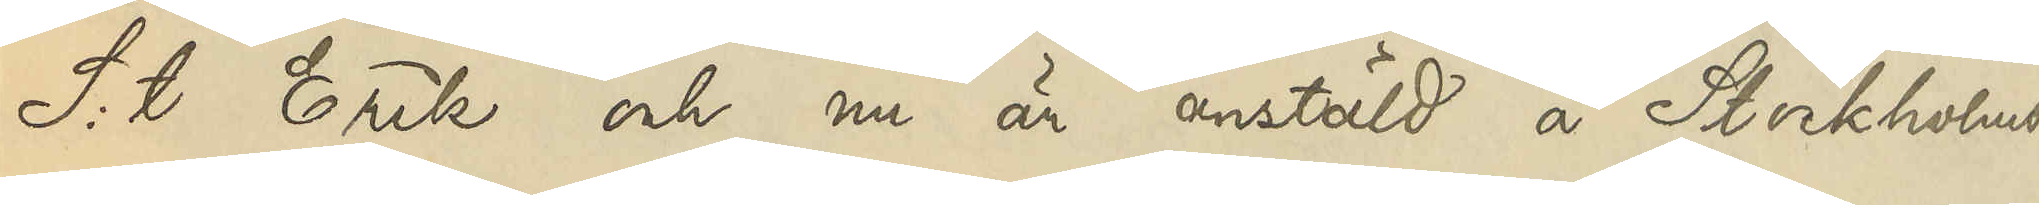S:t Erik och nu är anstäld å Stockholms¬
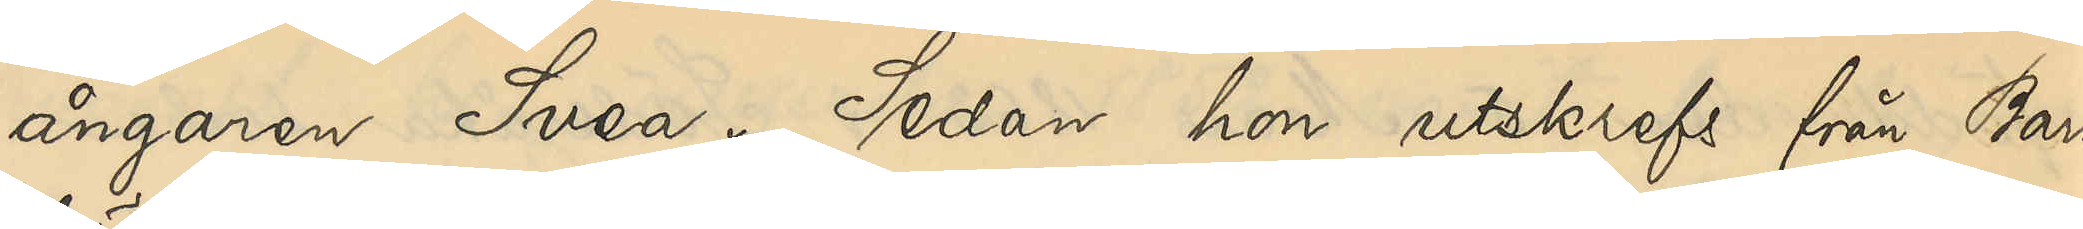ångaren Svea. Sedan hon utskrefs från Barn¬
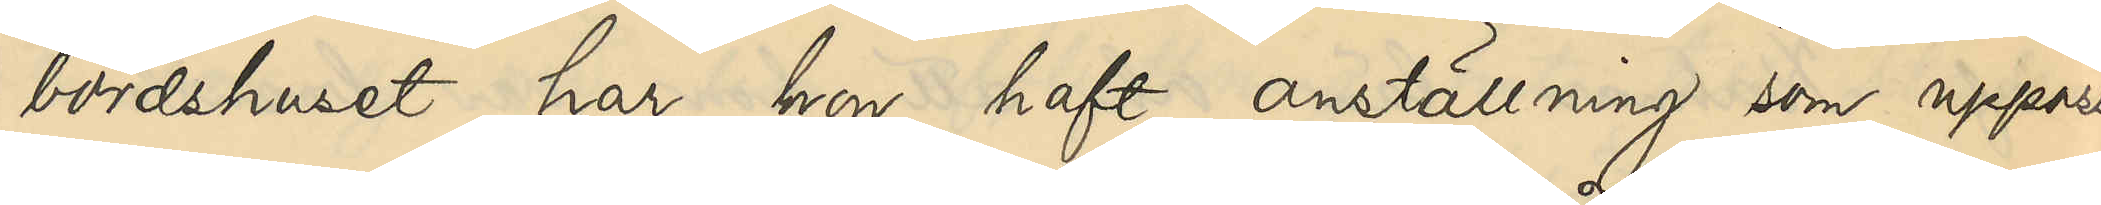bördshuset har hon haft anställning som uppasser¬
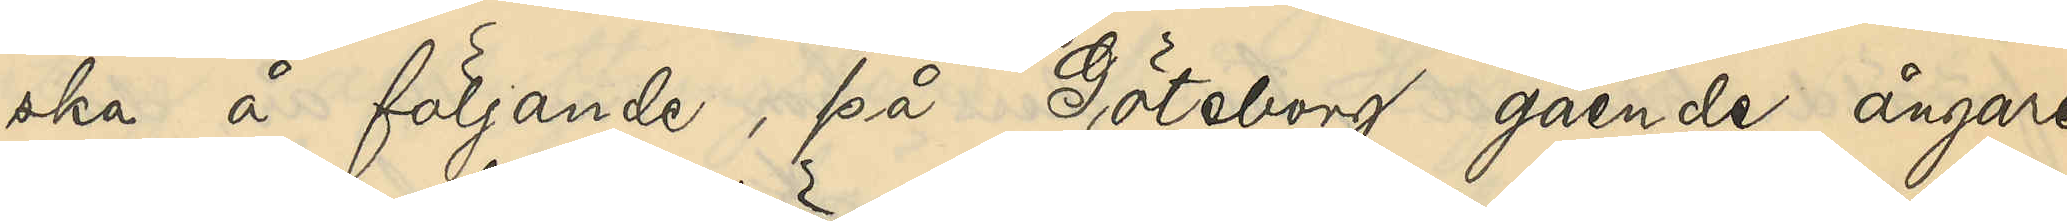ska å följande, på Göteborg gående ångare:
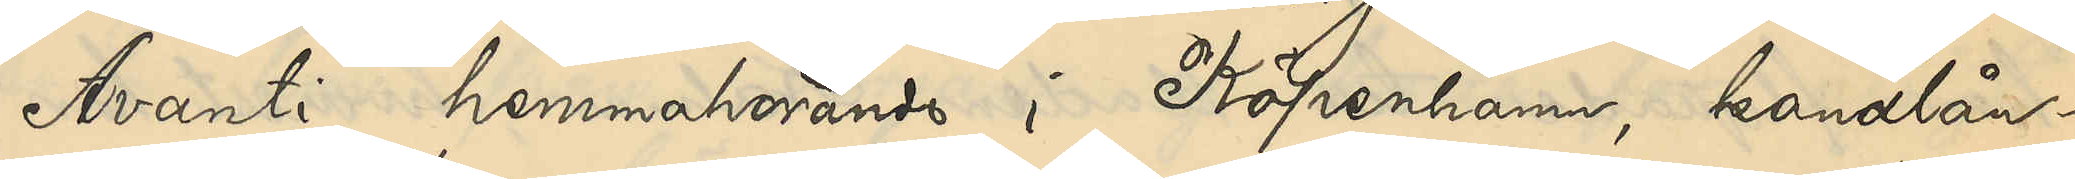Avanti, hemmahörande i Köpenhamn, kanalån¬
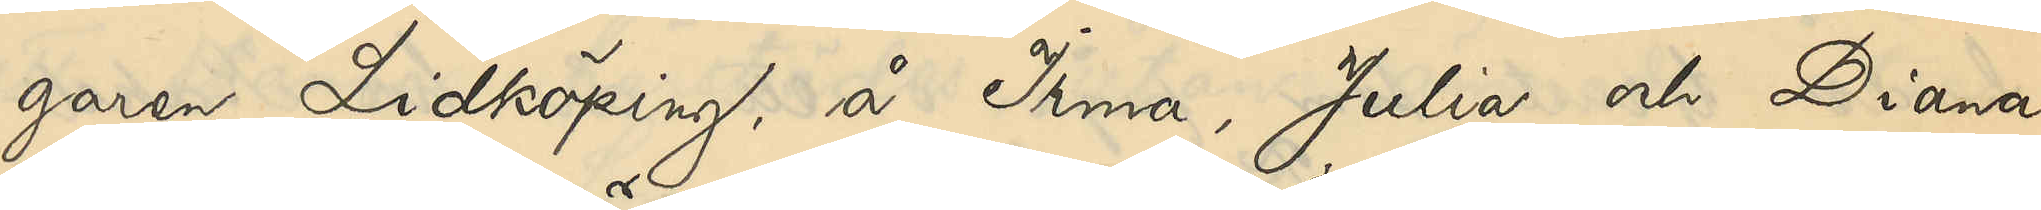garen Lidköping, å Irma, Julia och Diana,
